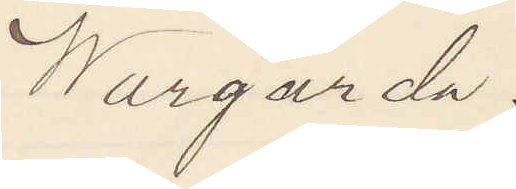Wårgårda.
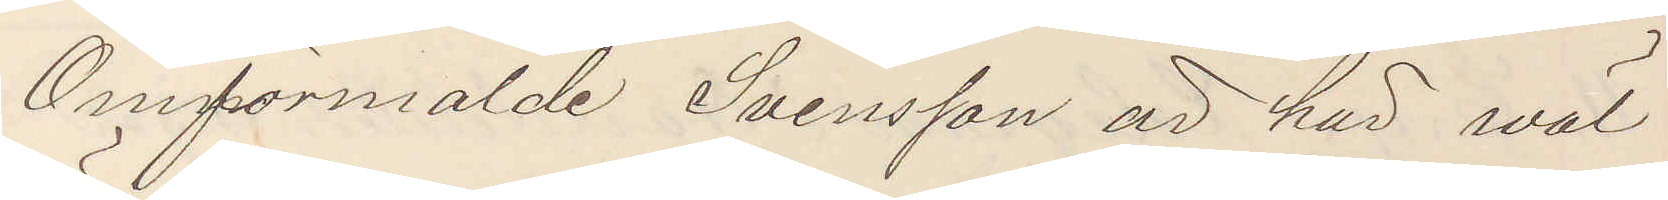Omförmälde Svensson är här wäl¬
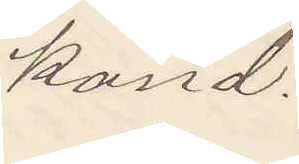känd.
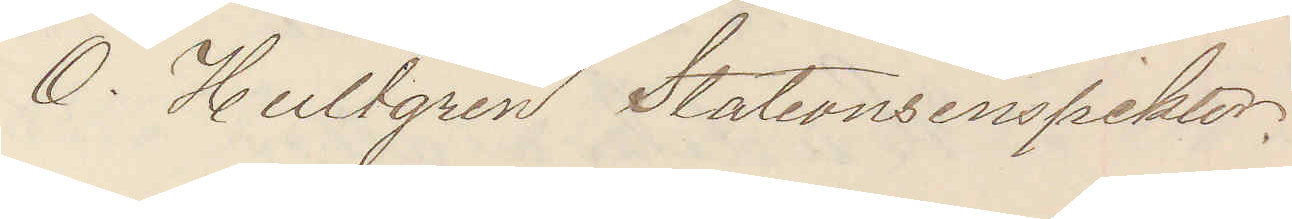O. Hultgren Stationsinspektor.
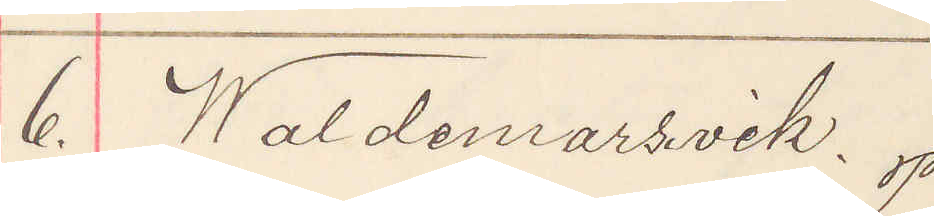6. Waldemarsvik.
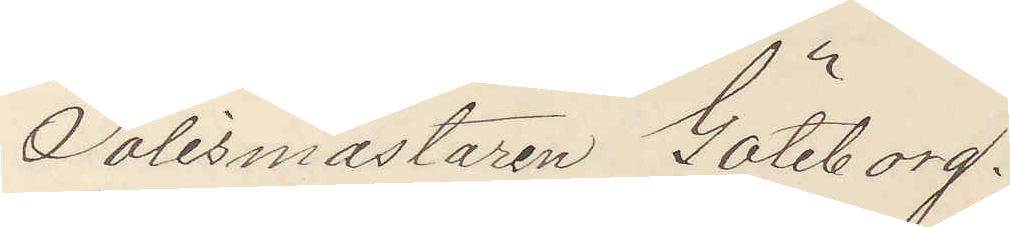Polismästaren Göteborg.
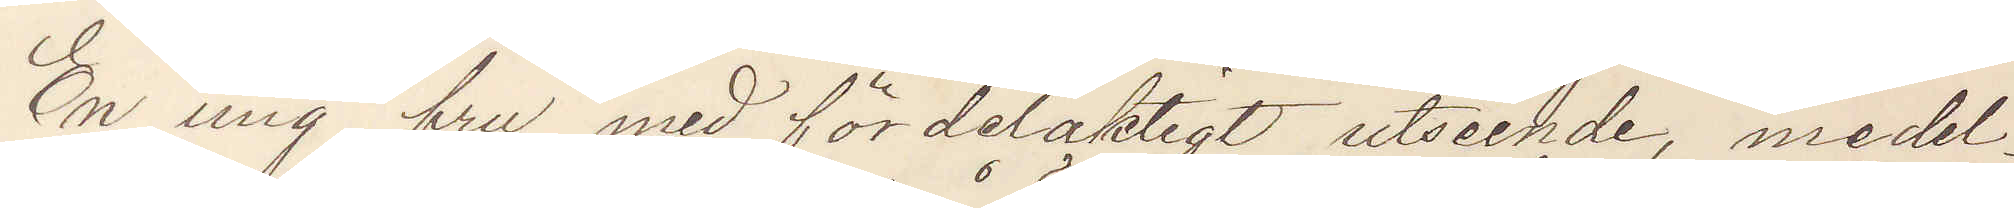En ung fru med fördelaktigt utseende, medel¬
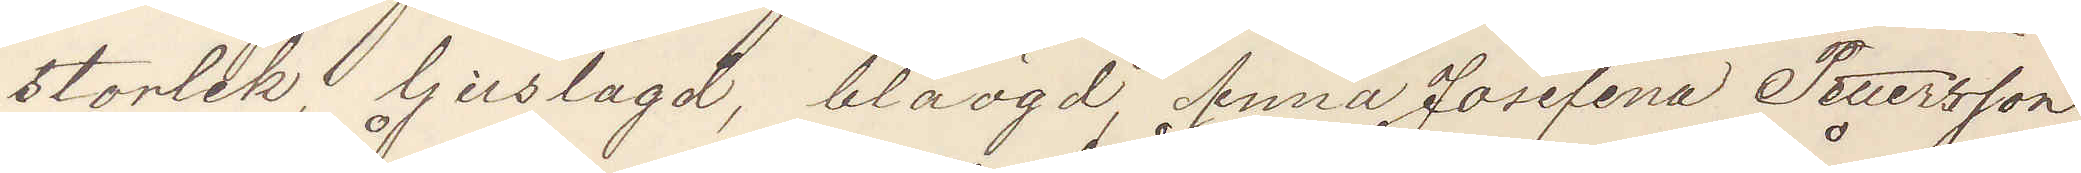storlek, ljuslagd, blåögd, Anna Josefina Pettersson,
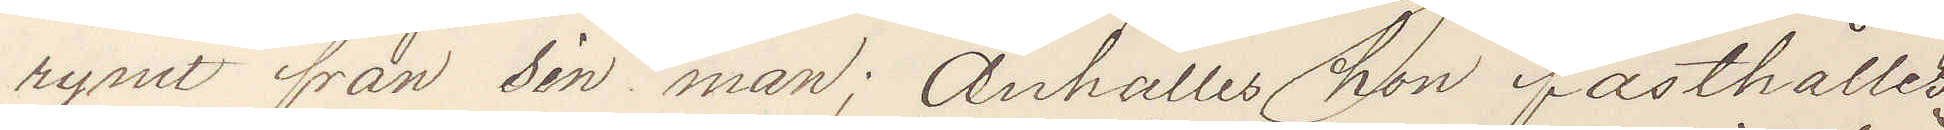rymt från sin man; Anhålles hon fasthålles
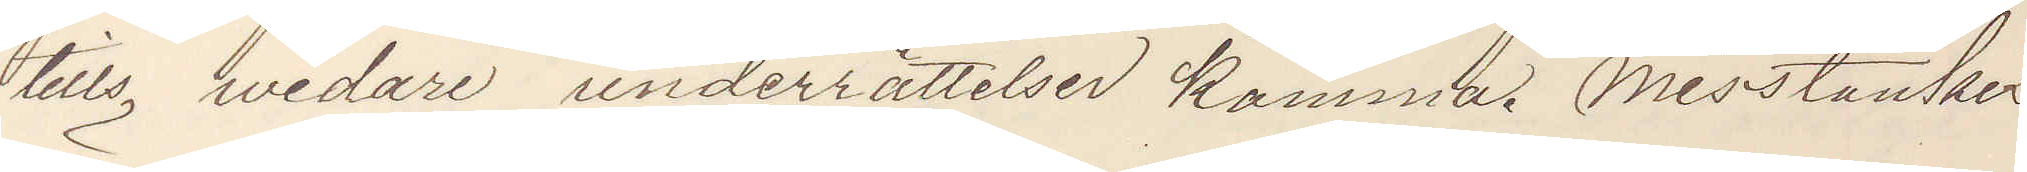tills vidare underrättelser komma. Misstänkes
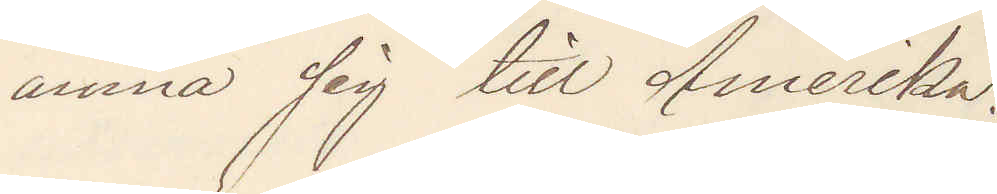ämna sig till Amerika.
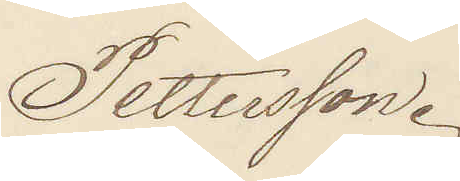Pettersson.
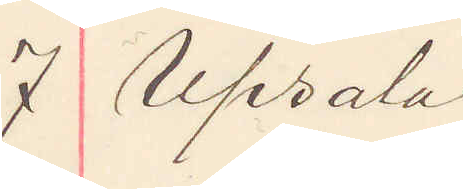7 Upsala
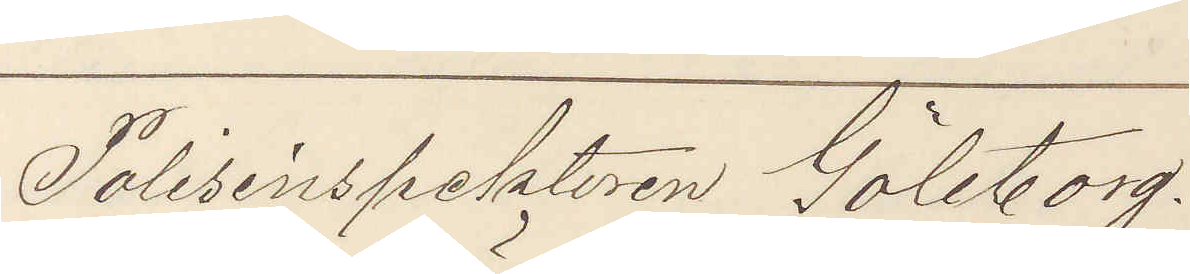Polisinspektoren Göteborg.
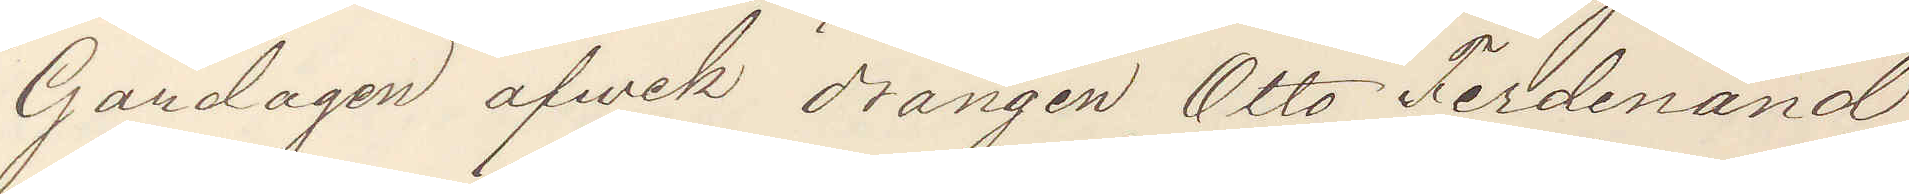Gårdagen afvek drängen Otto Ferdinand
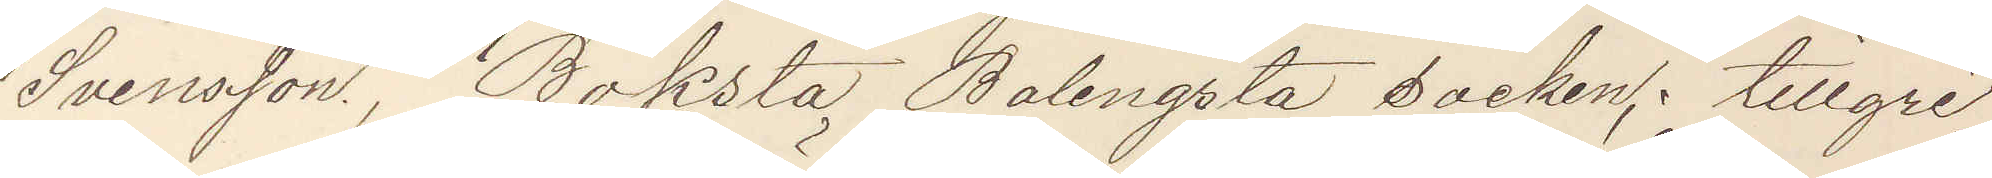Svensson, Böksta Balingsta socken tillgri¬
